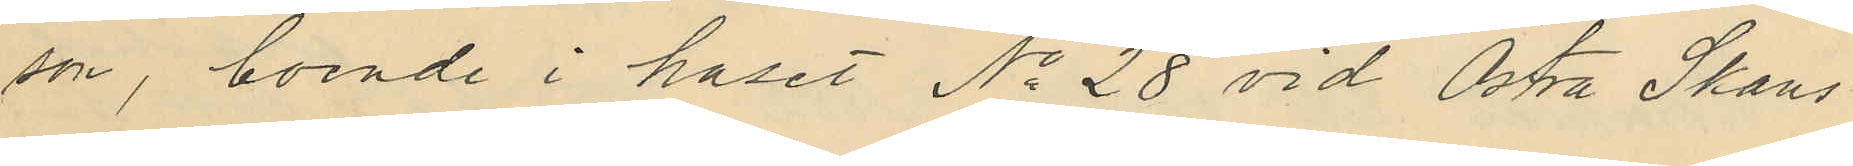son, boende i huset No 28 vid Östra Skans¬
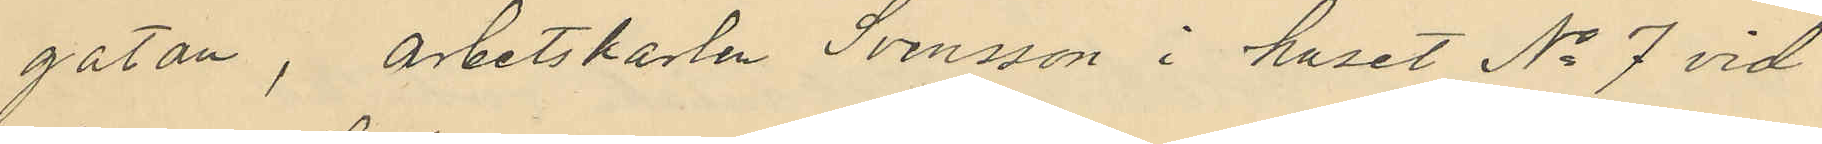gatan, arbetskarlen Svensson i huset No 7 vid
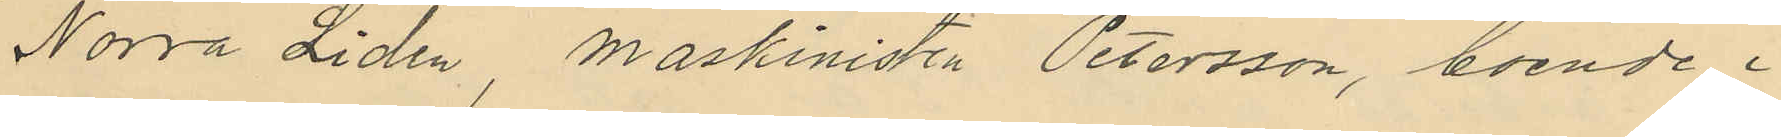Norra Liden, maskinisten Petersson, boende i
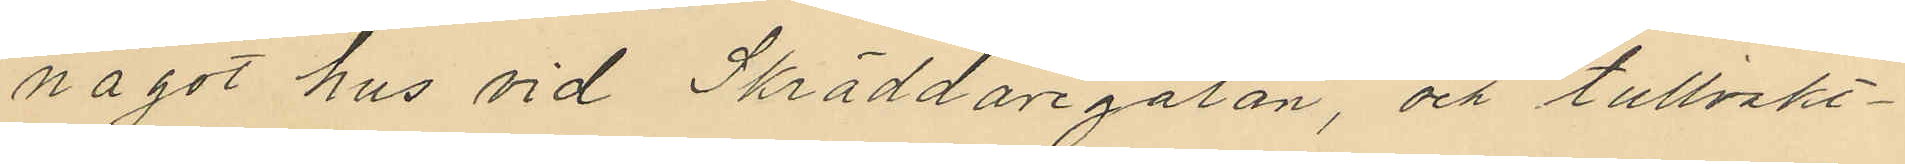något hus vid Skräddaregatan, och tullvakt¬
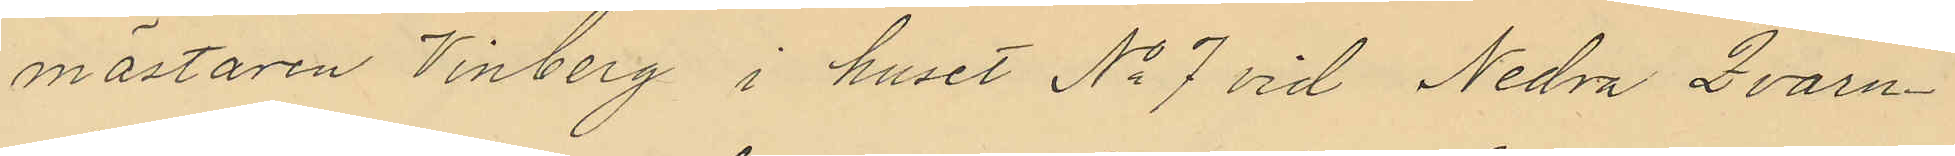mästaren Vinberg i huset No 7 vid Nedra Qvarn¬
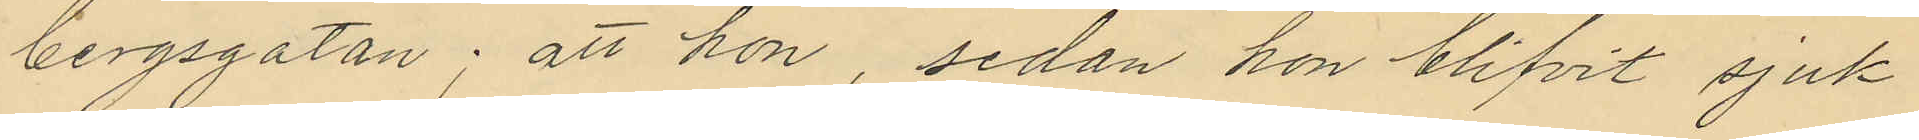bergsgatan; att hon, sedan hon blifvit sjuk
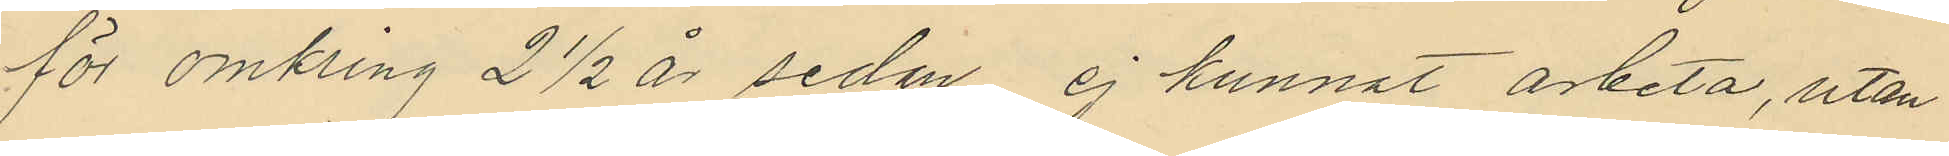för omkring 2½ år sedan ej kunnat arbeta, utan
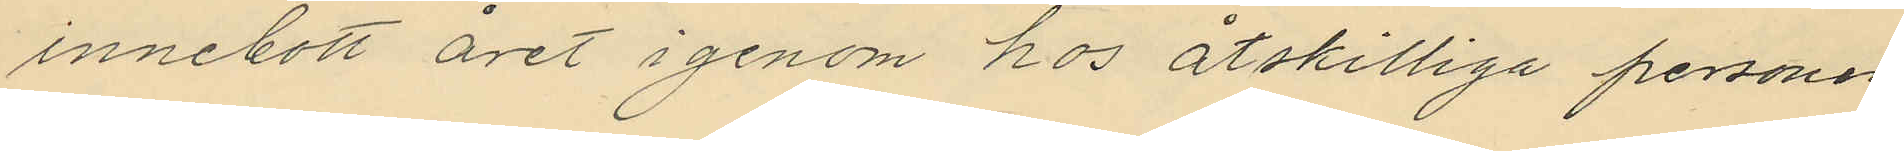innebott året i genom hos åtskilliga personer
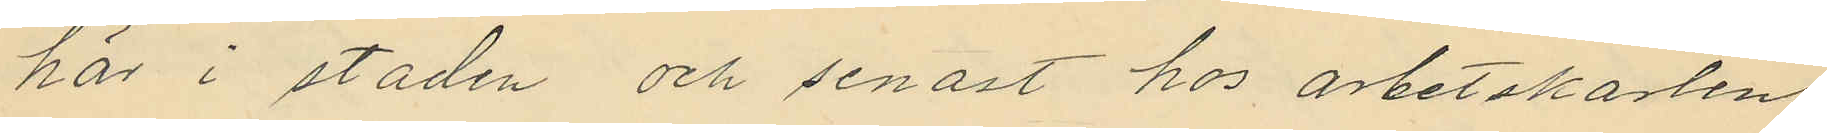här i staden och senast hos arbetskarlen
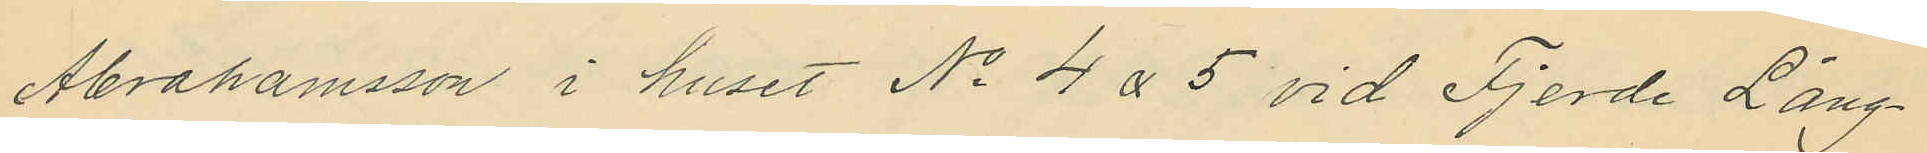Abrahamsson i huset No 4 & 5 vid Fjerde Lång¬
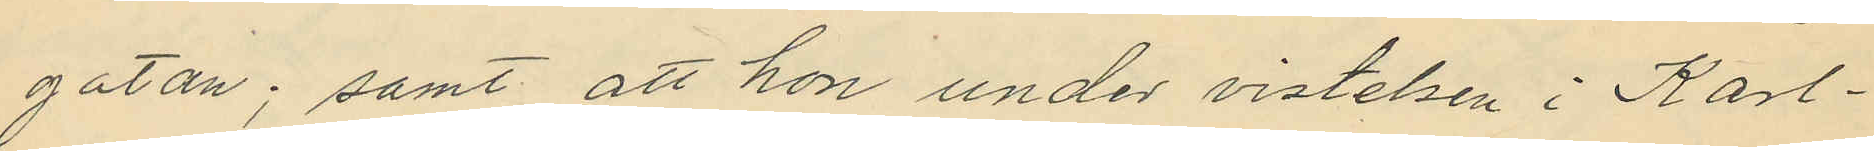gatan; samt att hon under vistelsen i Karl¬
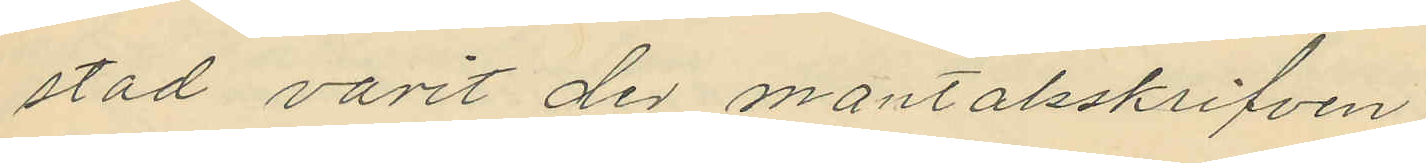stad varit der mantalsskrifven.
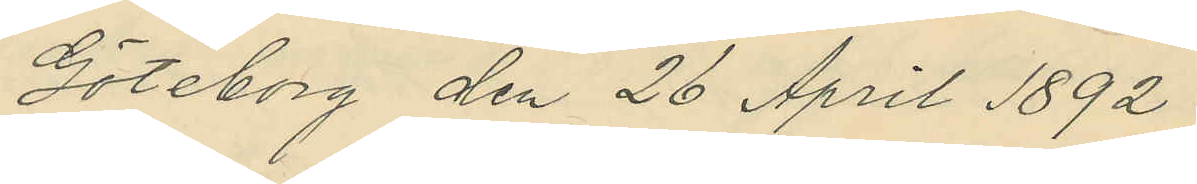Göteborg den 26 April 1892.
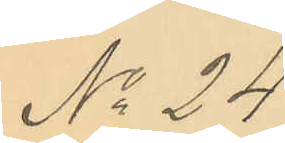No 24
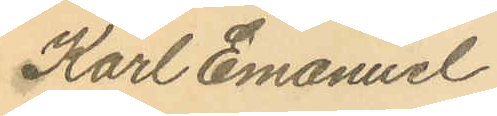Karl Emanuel
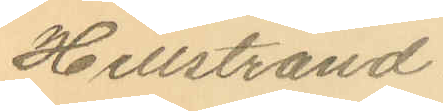Hellstrand.
